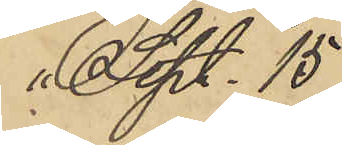" Sept. 15
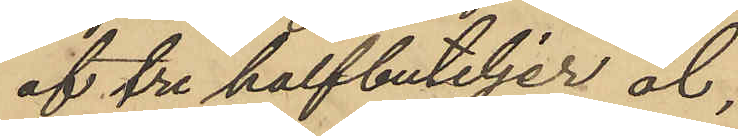af tre halfbuteljer öl,
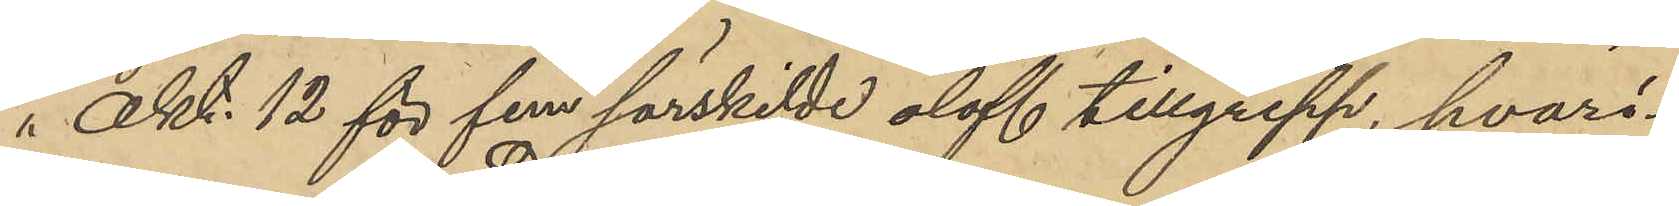i Okt. 12 för fem särskilde olofl. tillgrepp, hvari¬
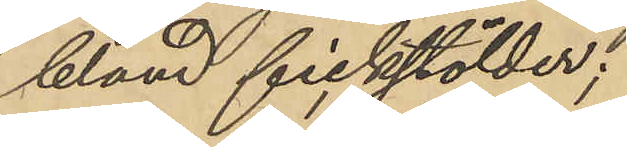bland fickstölder;
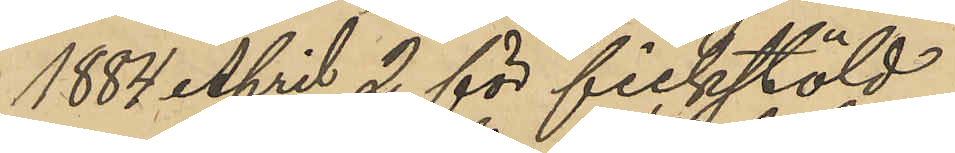1884 April 2 för fickstöld
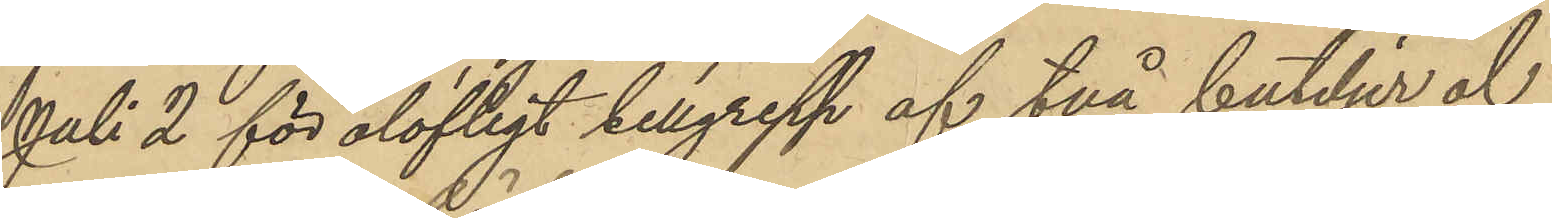Juli 2 för olofligt tillgrepp af två buteljer öl
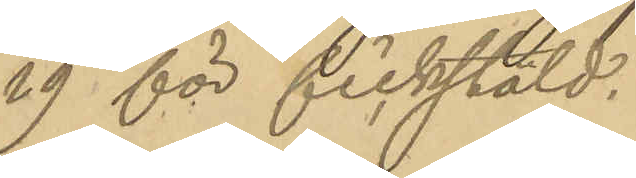29 för fickstöld.
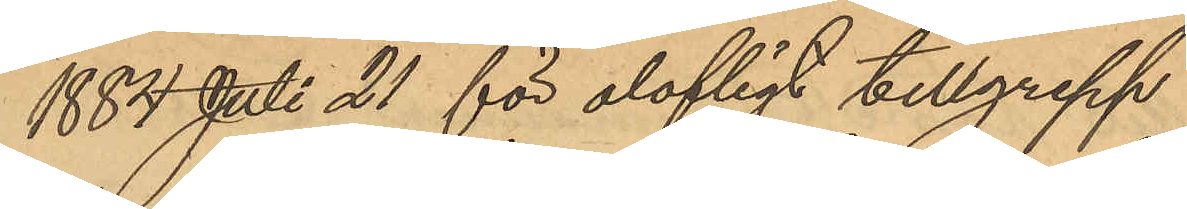1884 Juli 21 för olofligt tillgrepp
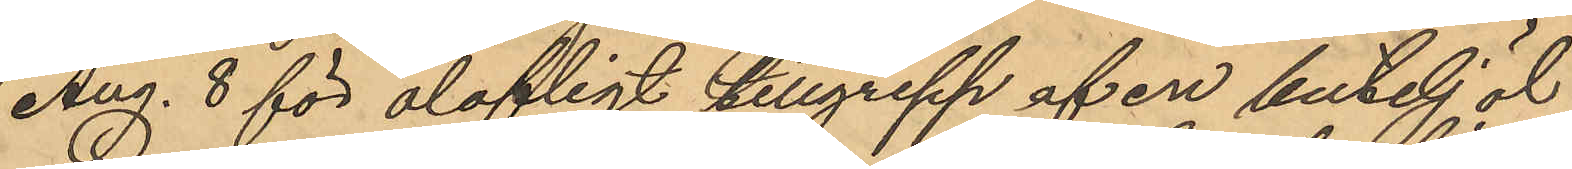Aug. 8 för olofligt tillgrepp af en butelj öl
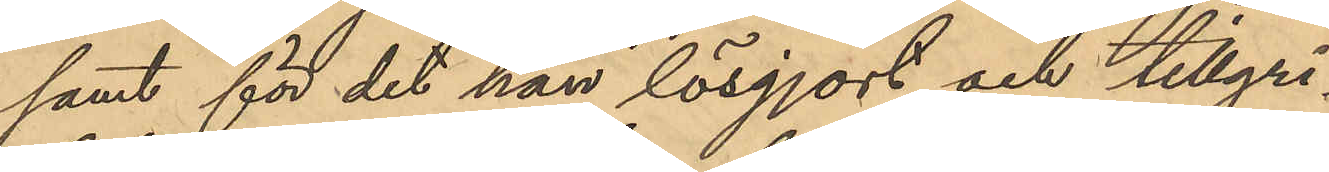samt för det han lösgjort och tillgri¬
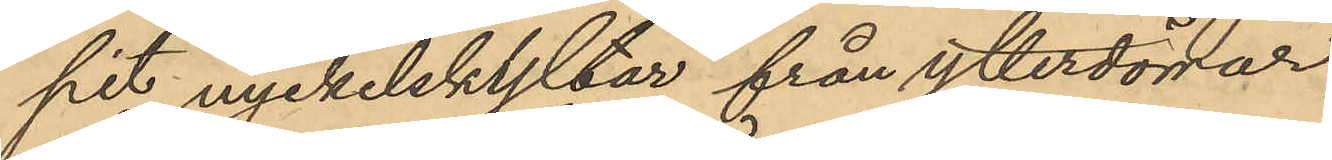pit nyckelskyltar från ytterdörrar
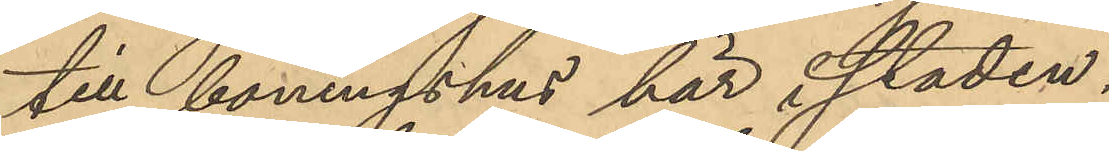till boningshus här i staden.
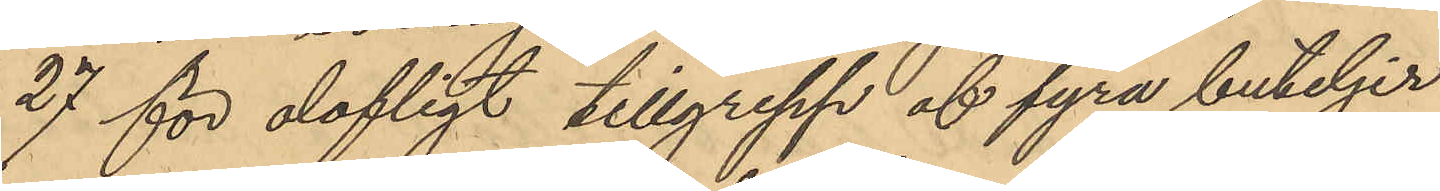27 för olofligt tillgrepp af fyra buteljer
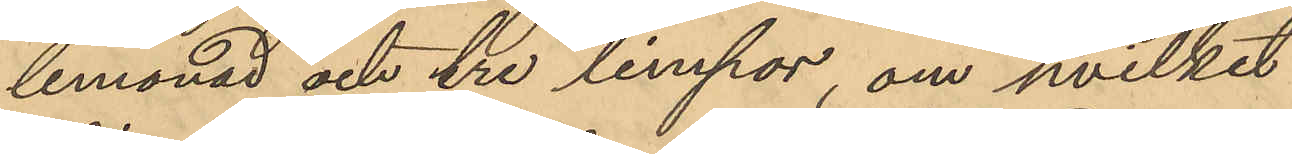lemonad och tre limpor, om hvilket
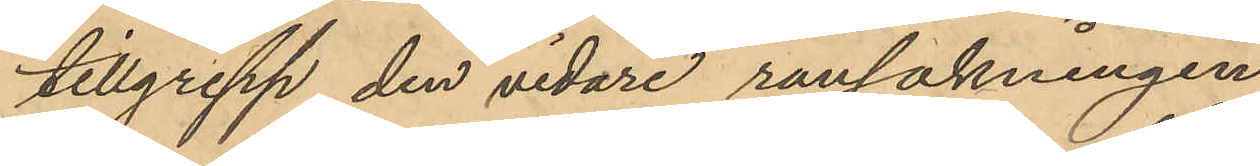tillgrepp den vidare rannsakningen
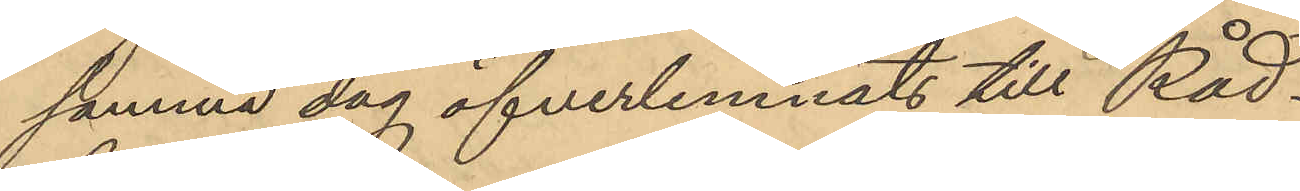samma dag öfverlemnats till Råd¬
